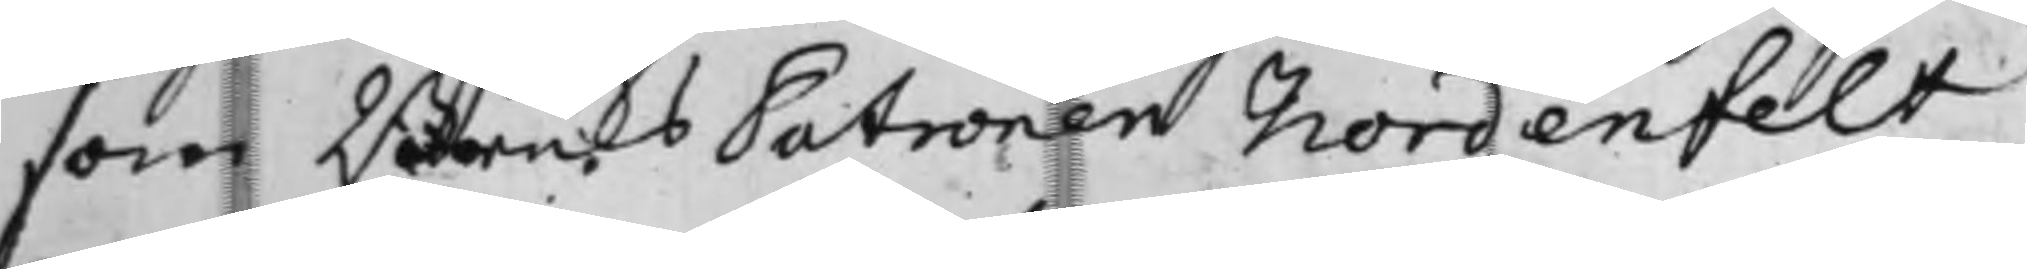som BruksPatronen Nordenfelt
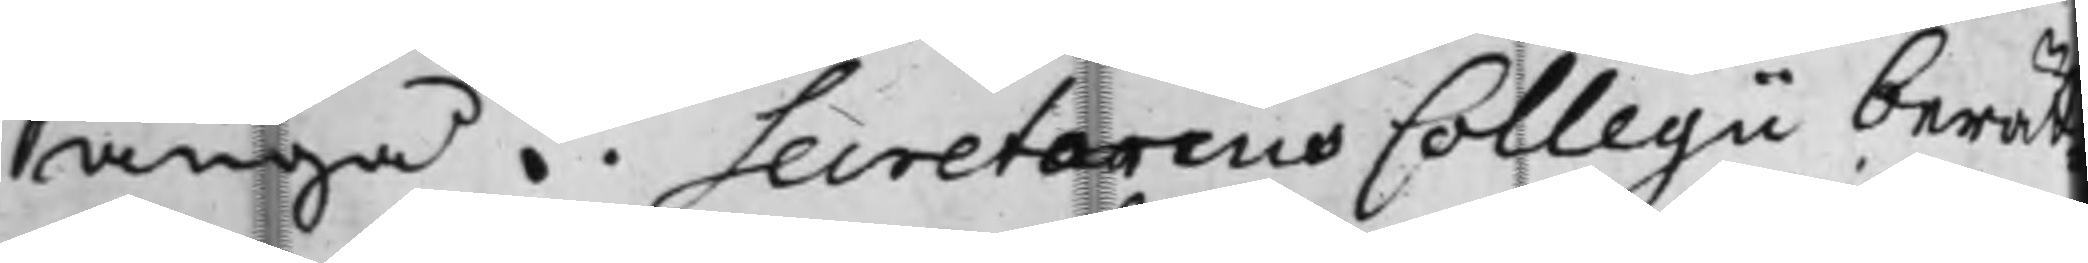angå. Secretarius Collegii berät¬
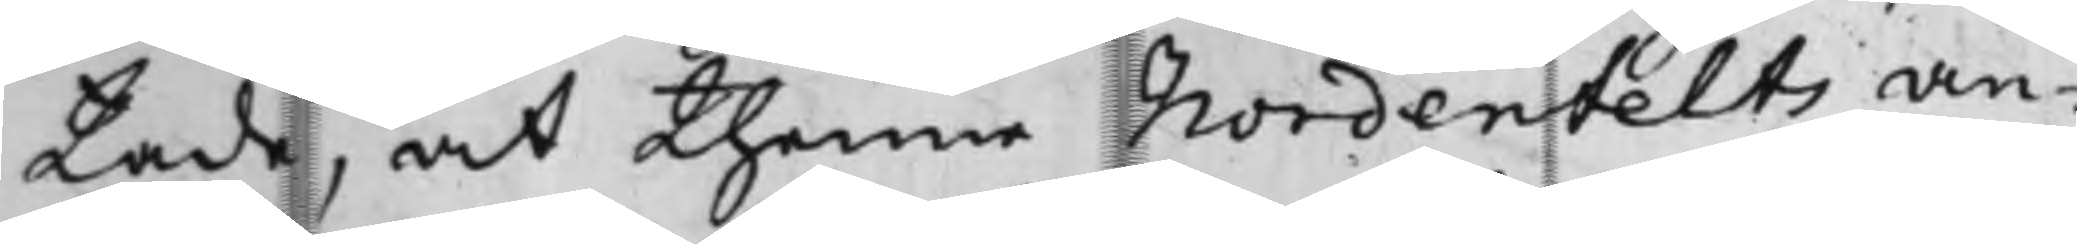tade, at thenne Nordenfelts an¬
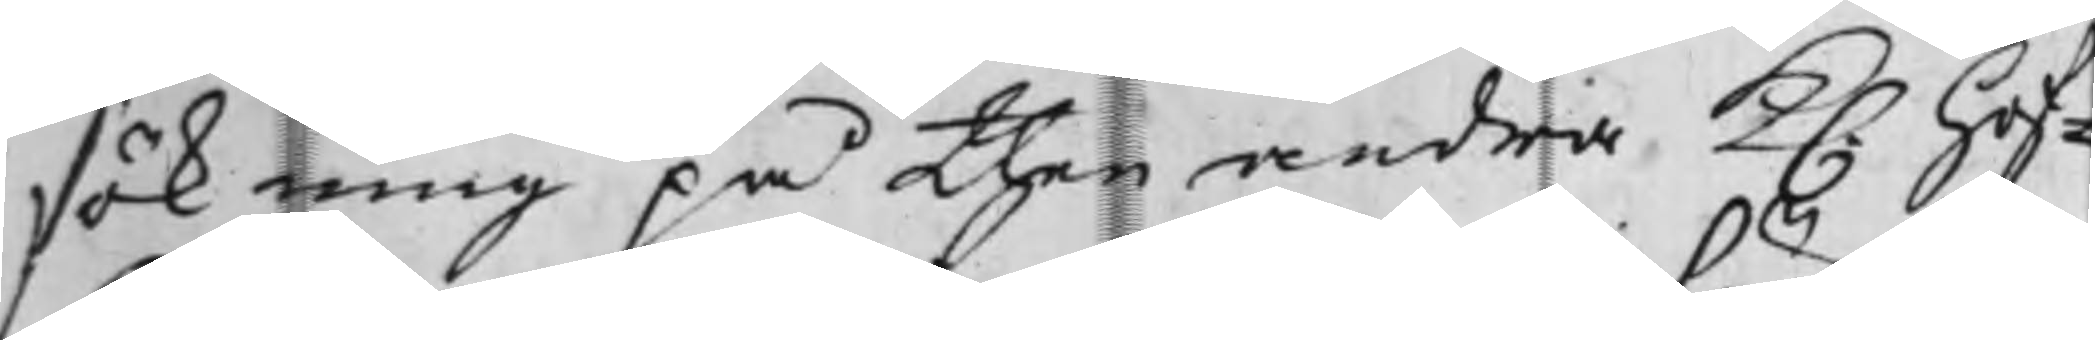sökning på then andra K. Hof¬
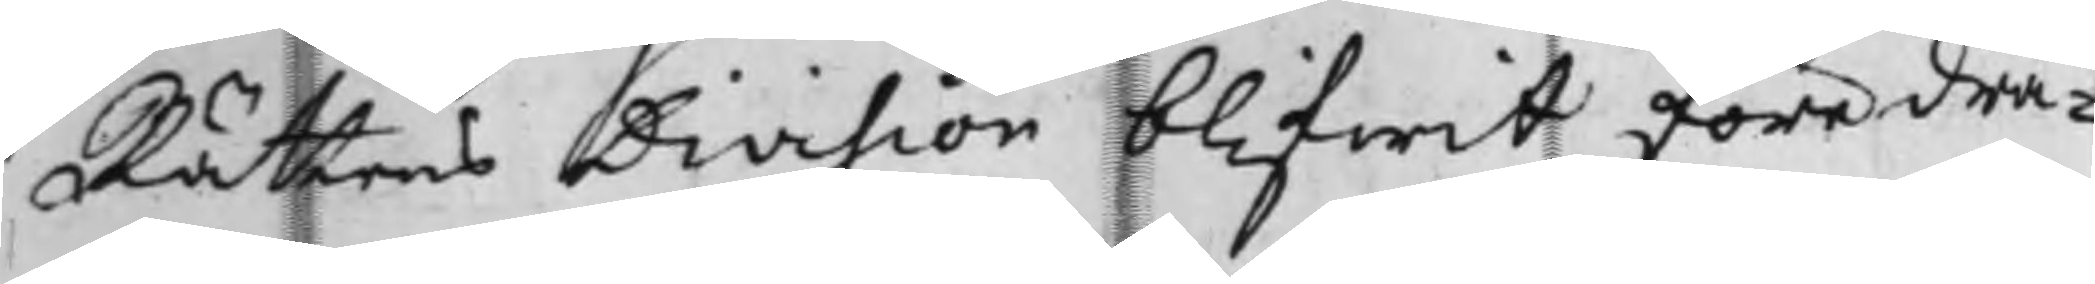Rättens Division blifwit föredra¬
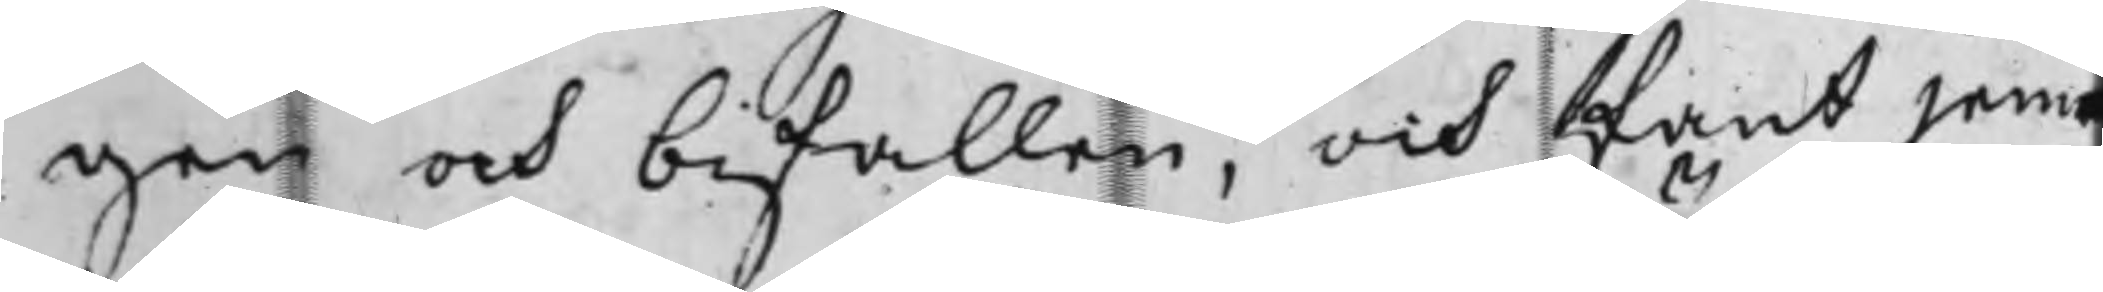gen och bifallen, och fant jem¬
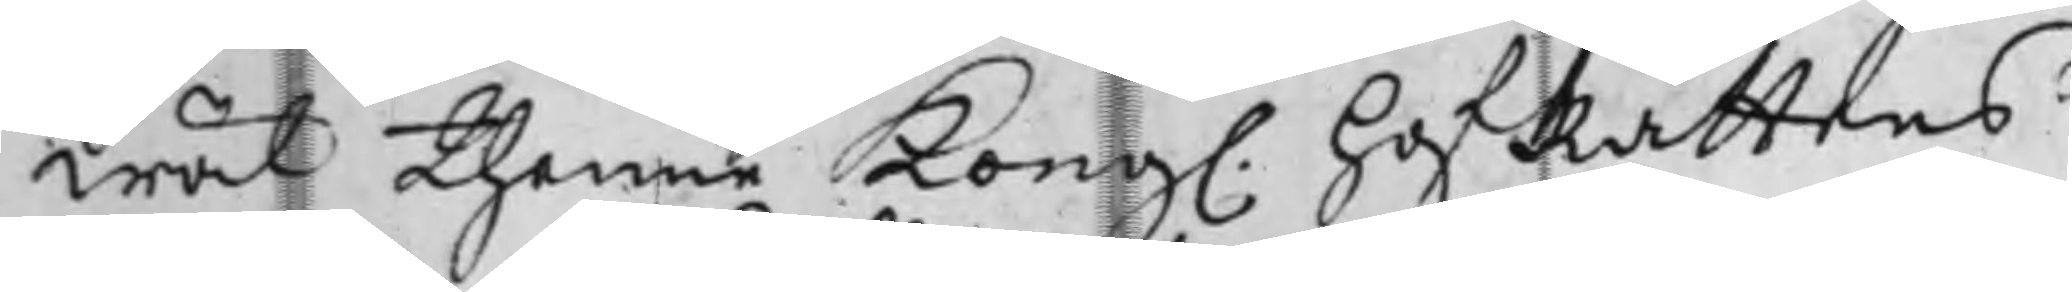wäl thenne Kong. HofRättens
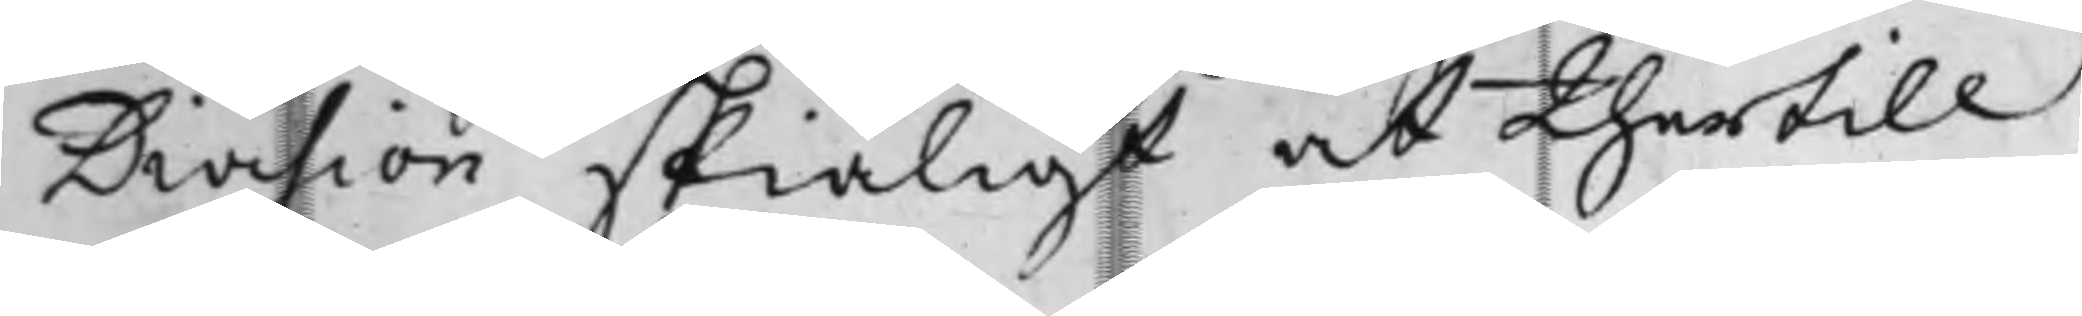Division skiäligt at thertill
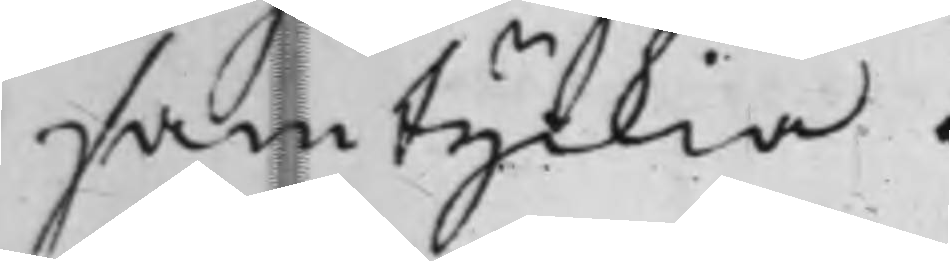samtyckia.
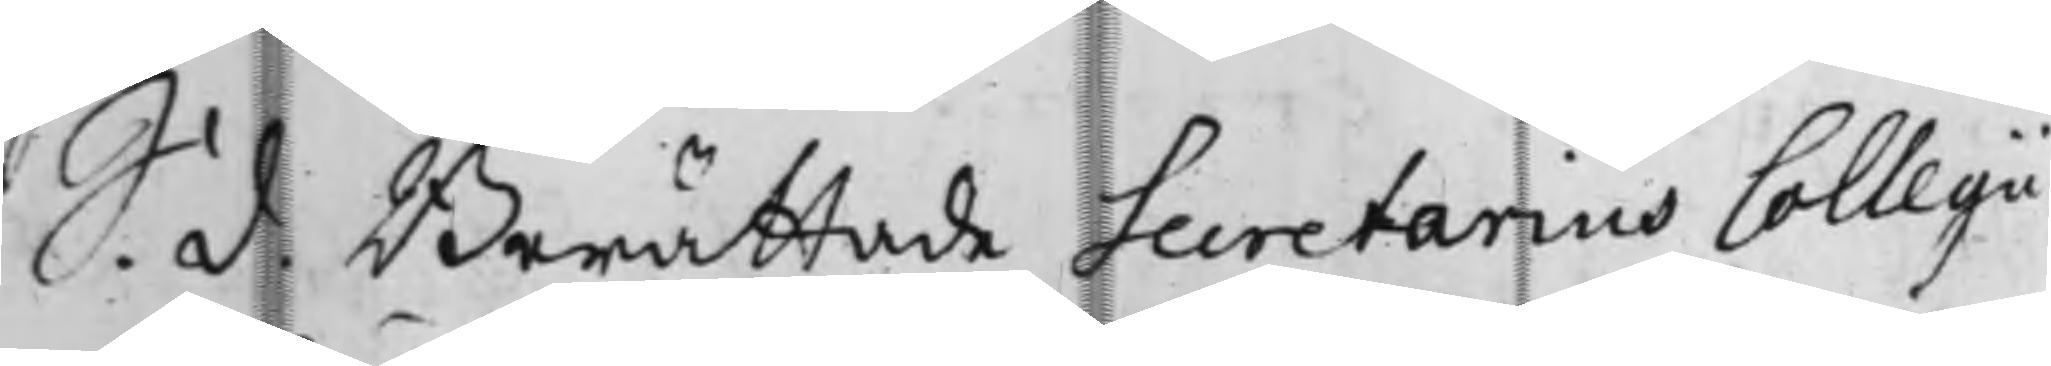S. d. Berättade Secretarius Collegii,
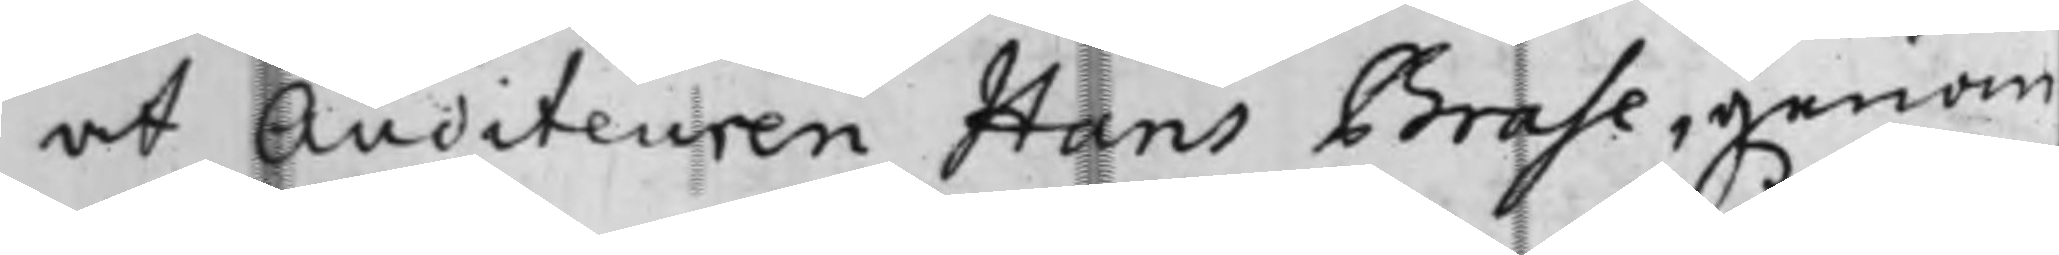at Auditeuren Hans Brahe, genom
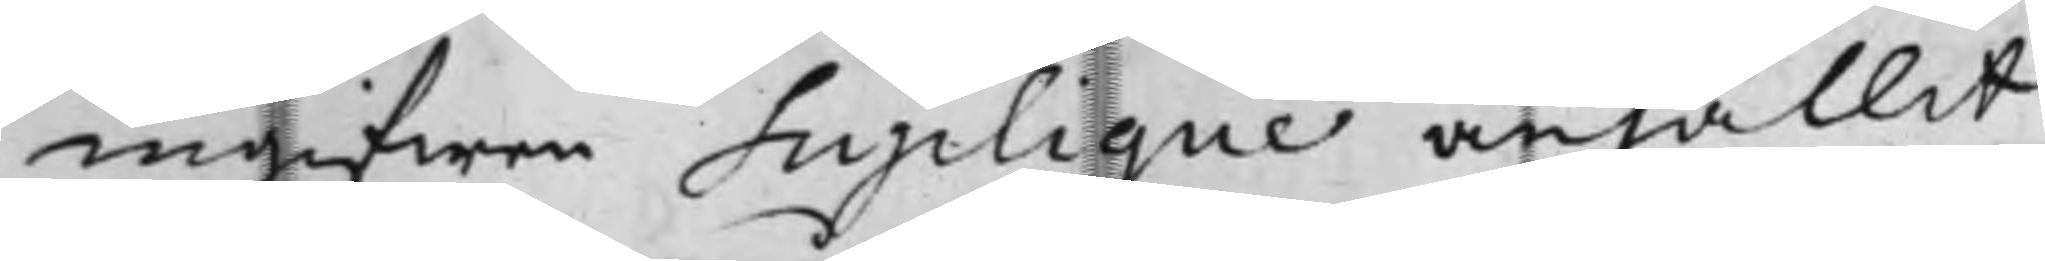ingifwen Suplique anhållit
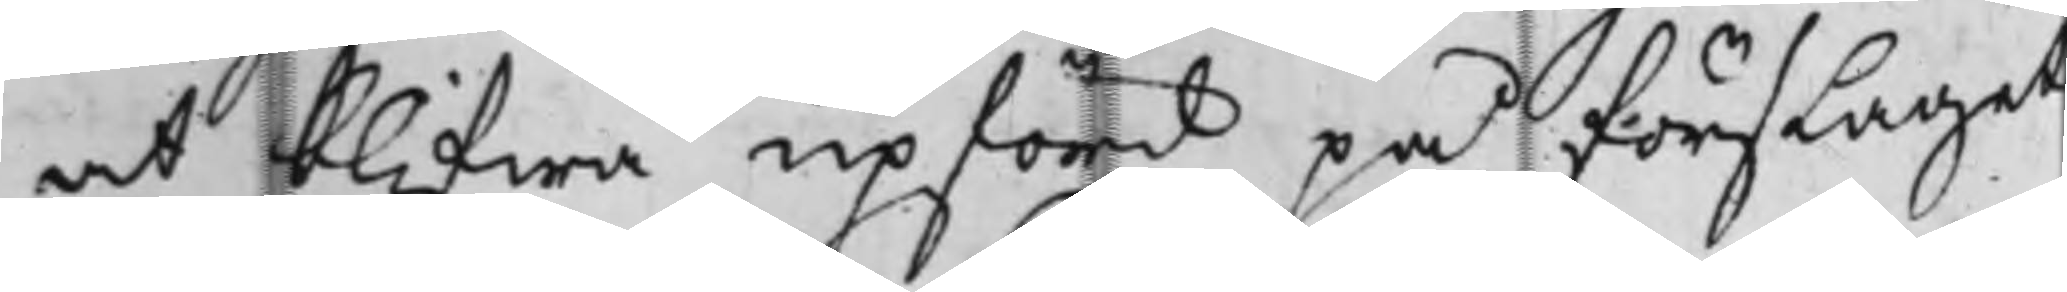at blifwa upförd på förslaget
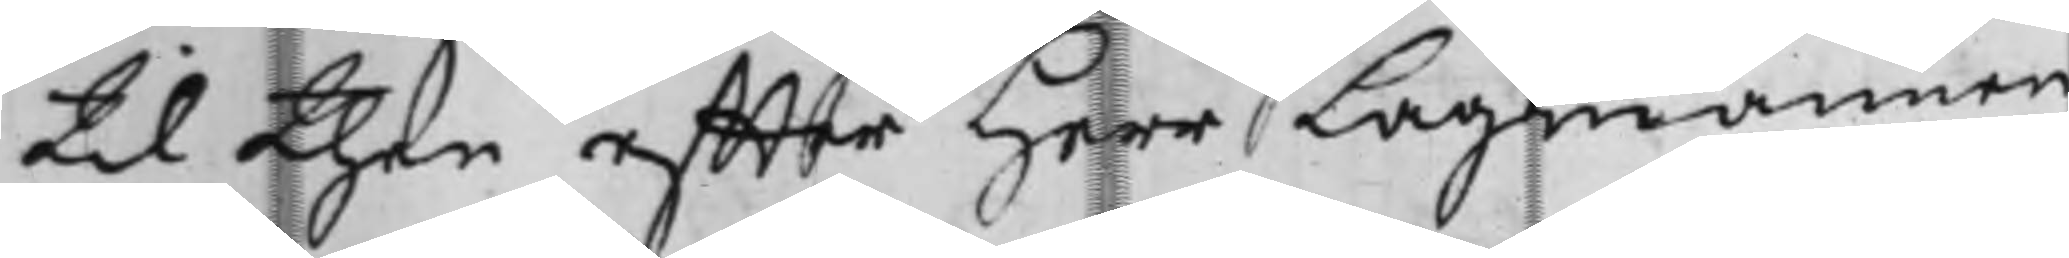til then effter Herr Lagmannen
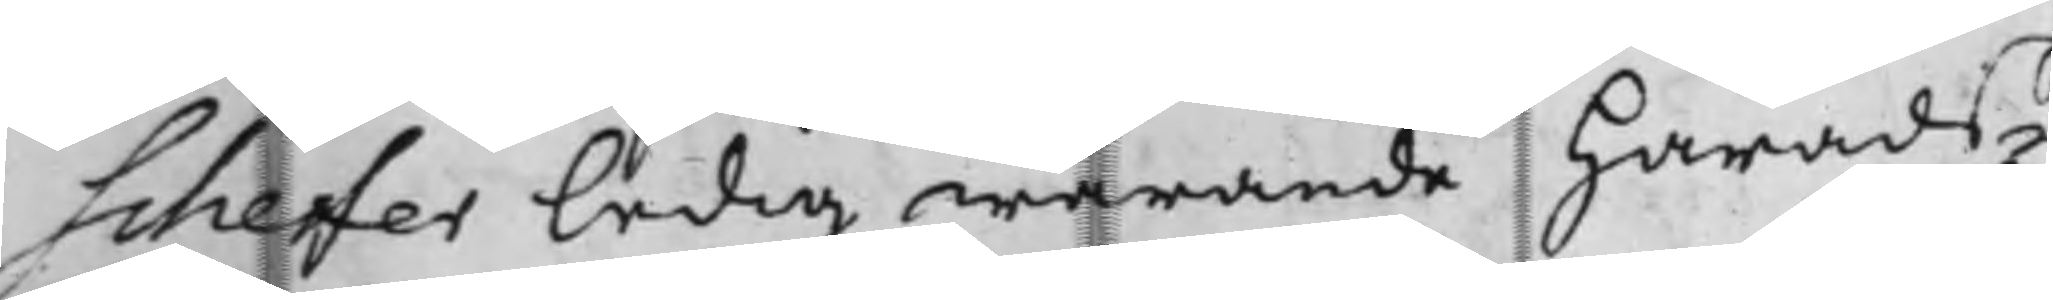Scheffer ledig warande Härads¬
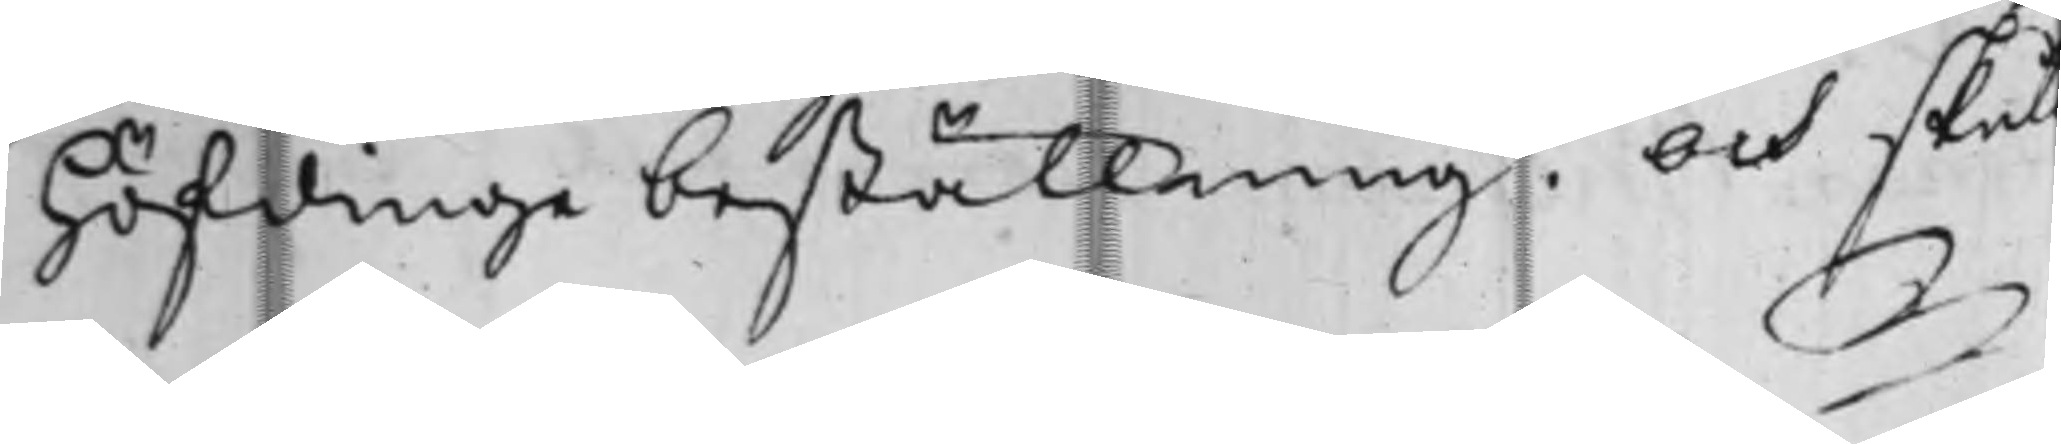höfdinge beställning. Och skull
